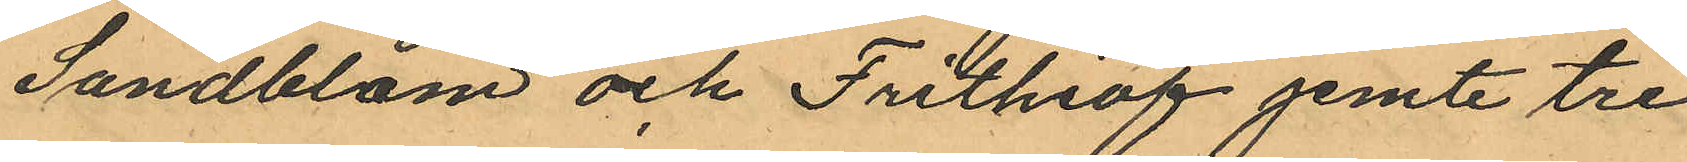Sandblom och Frithiof jemte tre
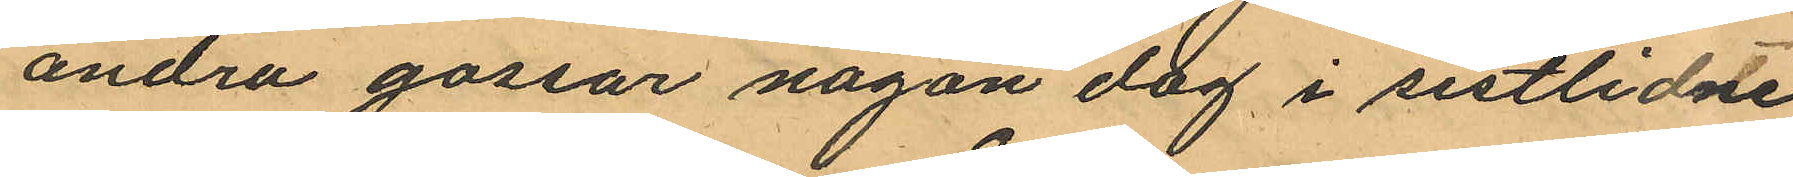andra gossar någon dag i sistlidne
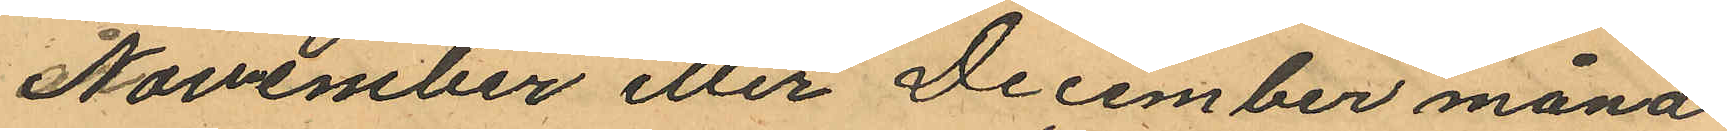November eller December måna¬
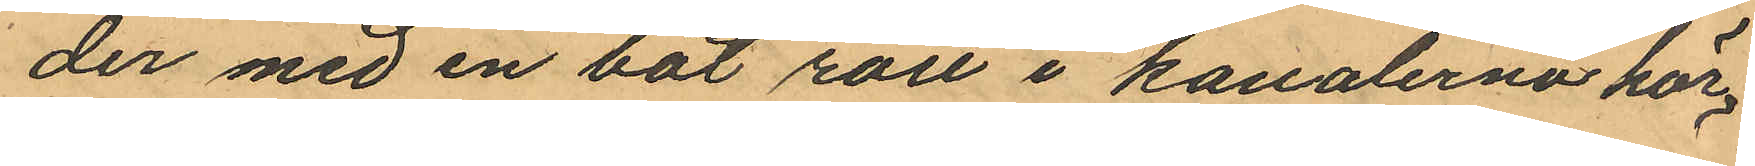der med en båt rott i kanalerna här
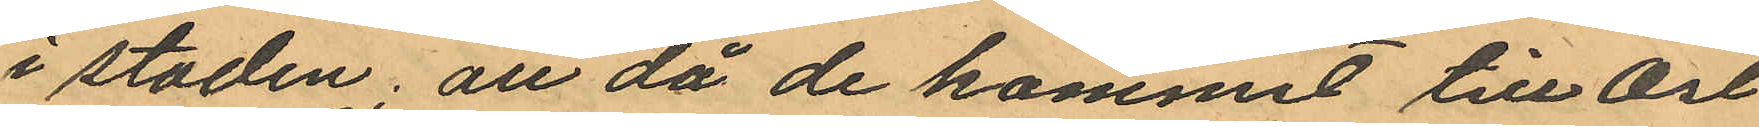i staden; att då de kommit till Öst
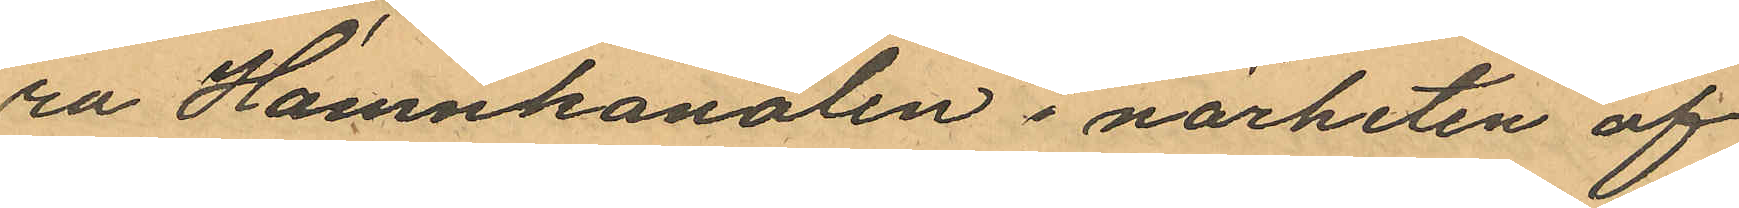ra Hamnkanalen i närheten af
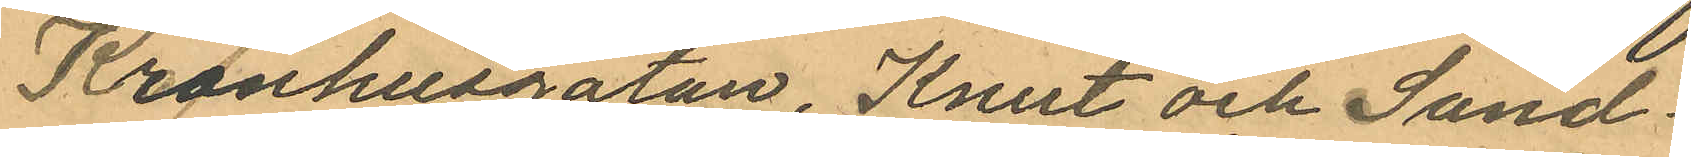Kronhusgatan, Knut och Sand¬
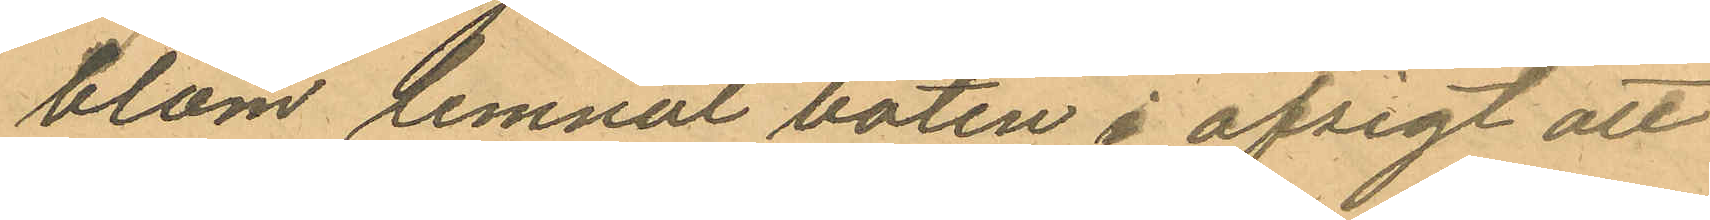blom lemnat båten i afsigt att
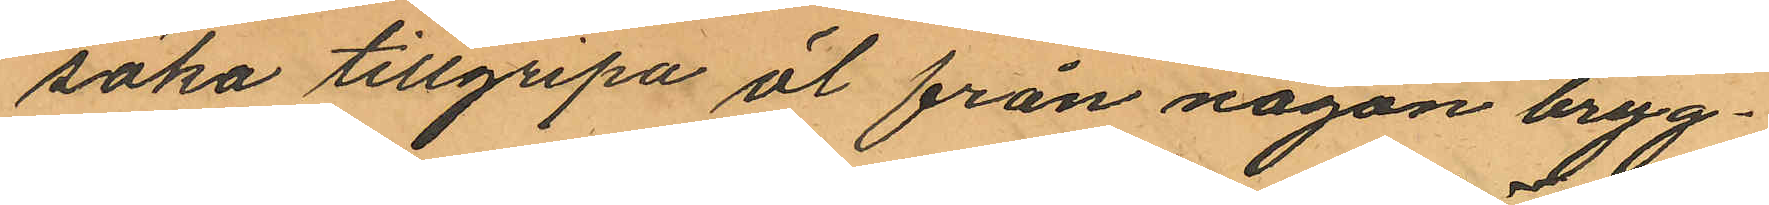söka tillgripa öl från någon bryg¬
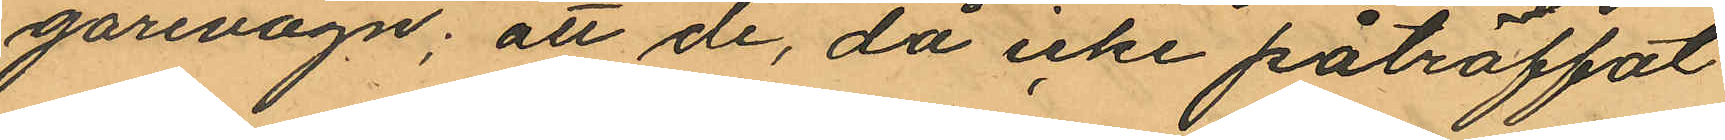garevagn; att de, då icke påträffat
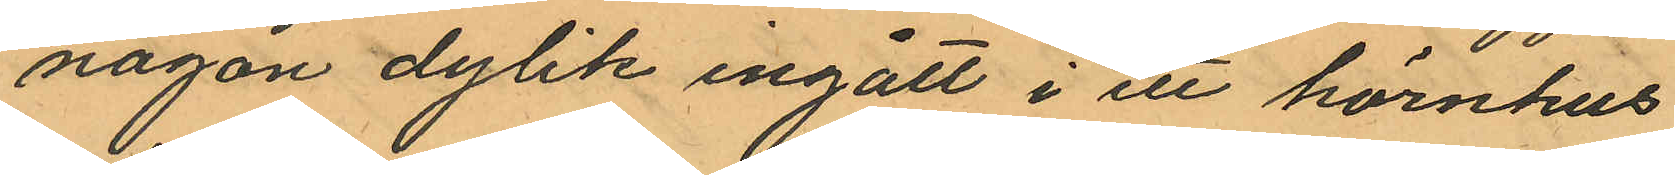någon dylik ingått i en hörnhus
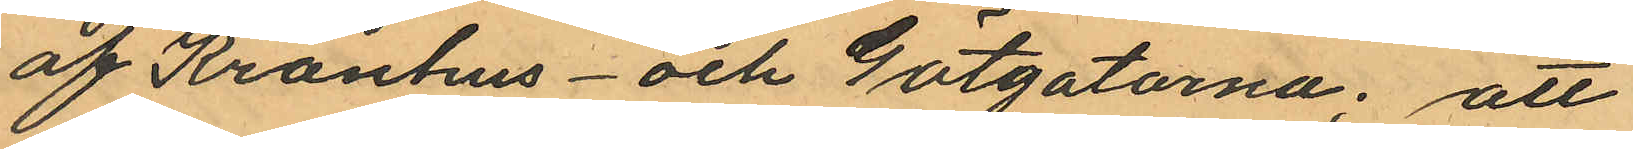af Kronhus- och Götgatorna; att
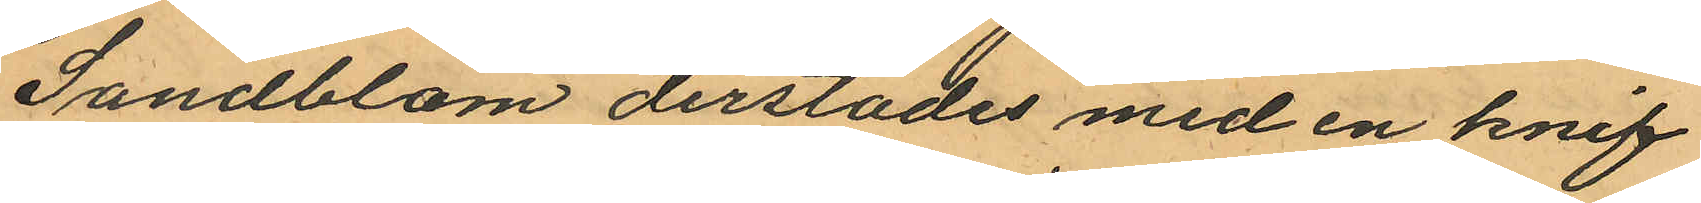Sandblom derstädes med en knif
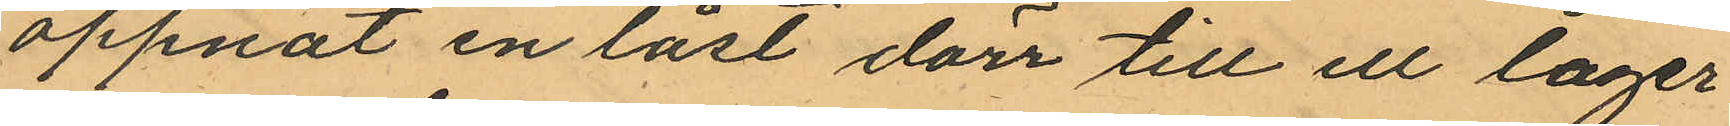öppnat en låst dörr till ell lager
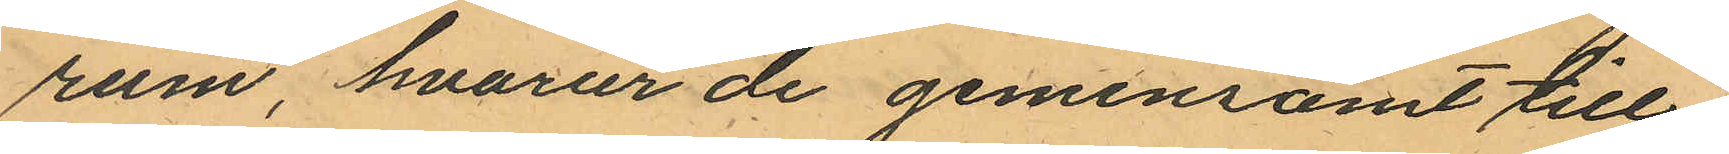rum, hvarur de gemensamt till¬
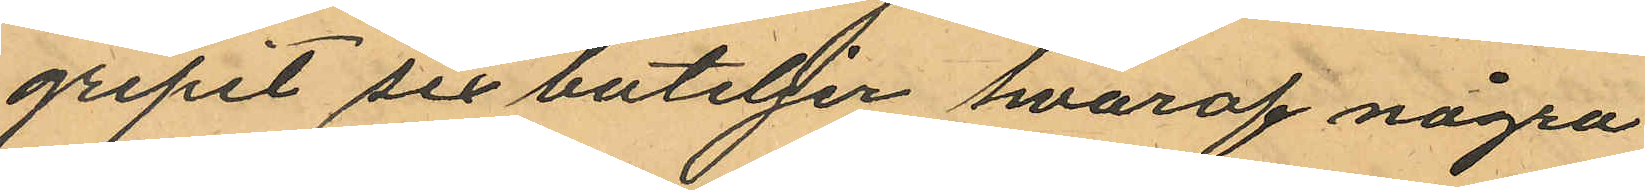gripit sex buteljer hvaraf några
